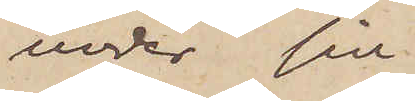under sin
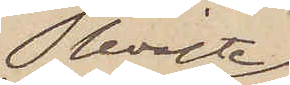senaste
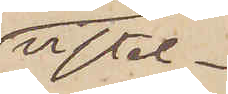vistel¬
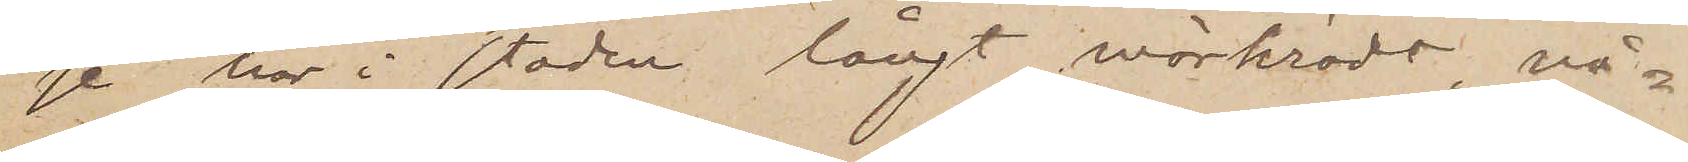se här i staden, långt mörkrödt, vå¬
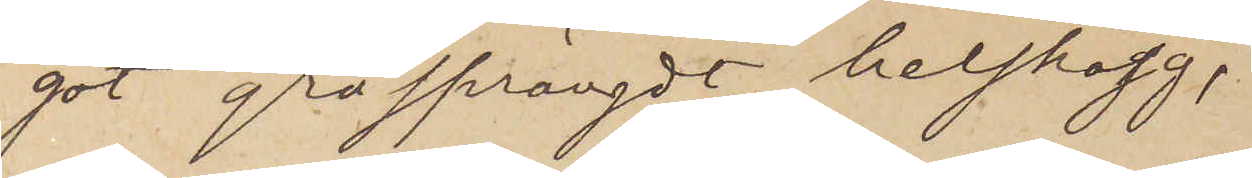got gråsprängdt helskägg,
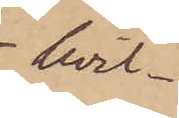hvil¬
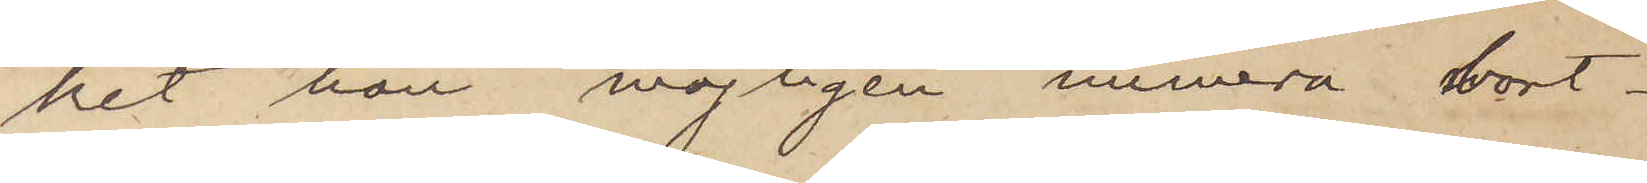ket han möjligen numera bort¬
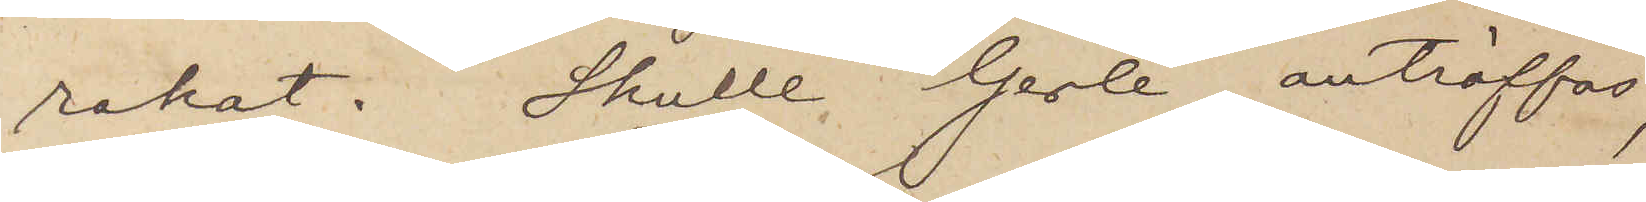rakat.  Skulle Gerle anträffas,
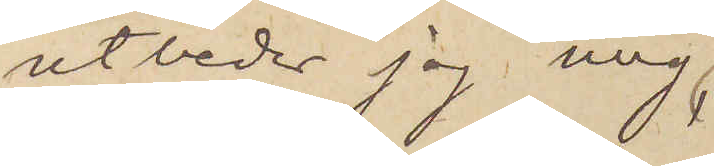utbeder jag mig
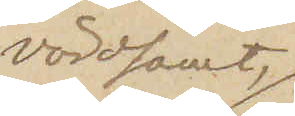vördsamt,
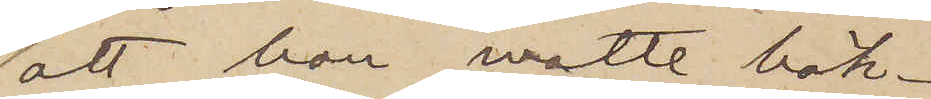att han måtte häk¬
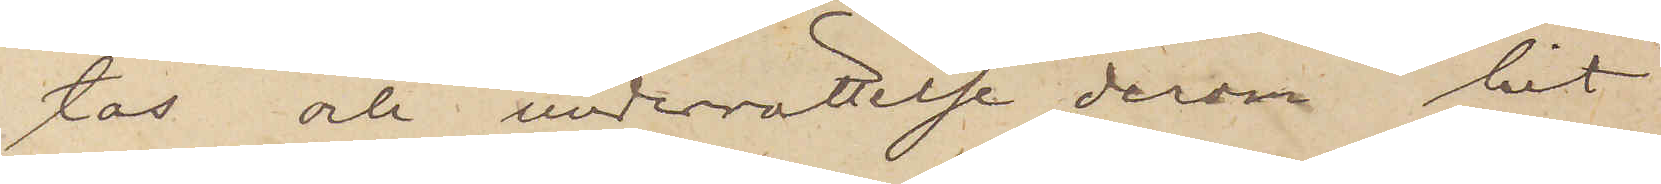tas och underrättelse derom hit
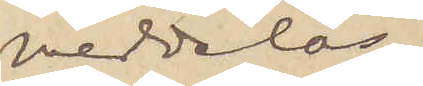meddelas.
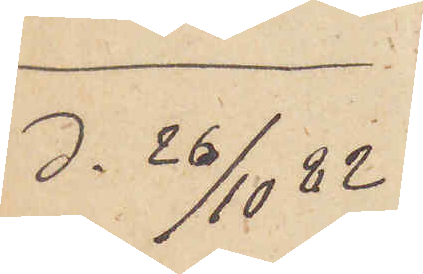d. 26/10 82
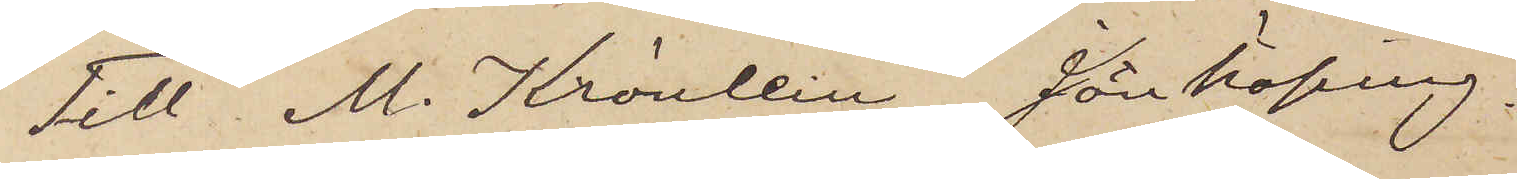Till M. Krönlein Jönköping.
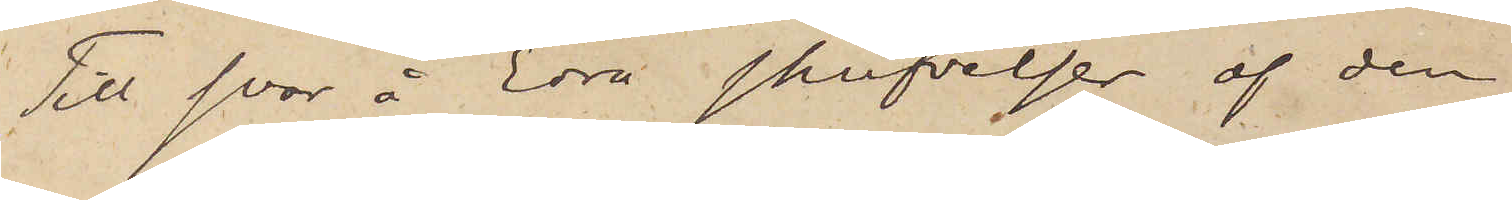Till svar å Edra skifvelser af den
